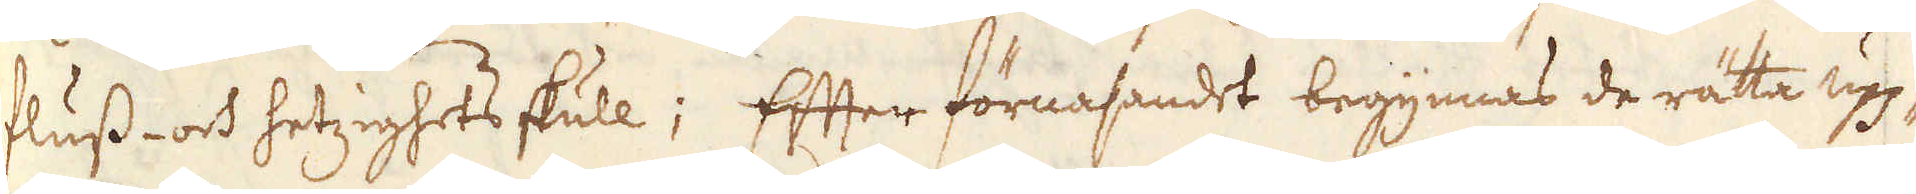fluss- och hetzighets skull; Efter förnasandet begynnas de rätta upp-
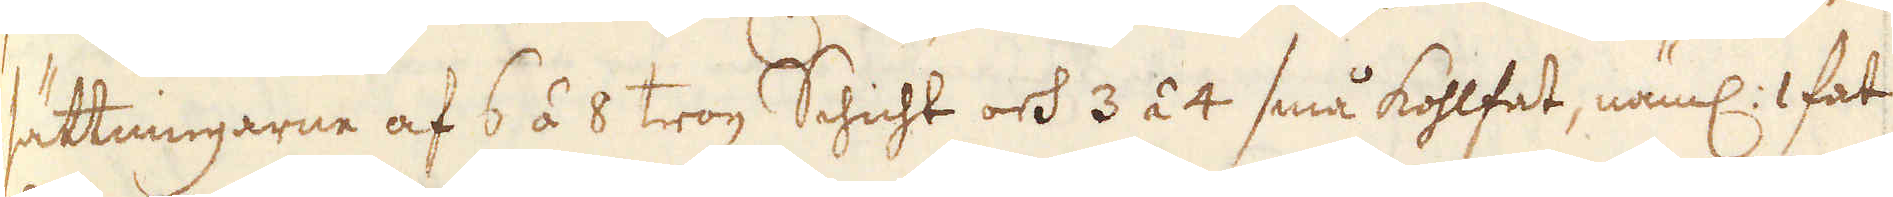sättningarne af 6 á 8 trog Schicht och 3 á 4 små kohlfat, näml: 1 fat
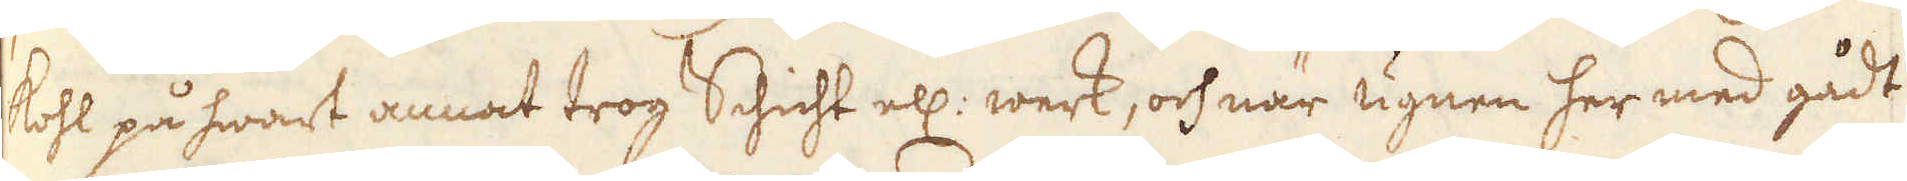kohl på hwart annat trog Schicht ell: werk, och när ugnen her med gådt
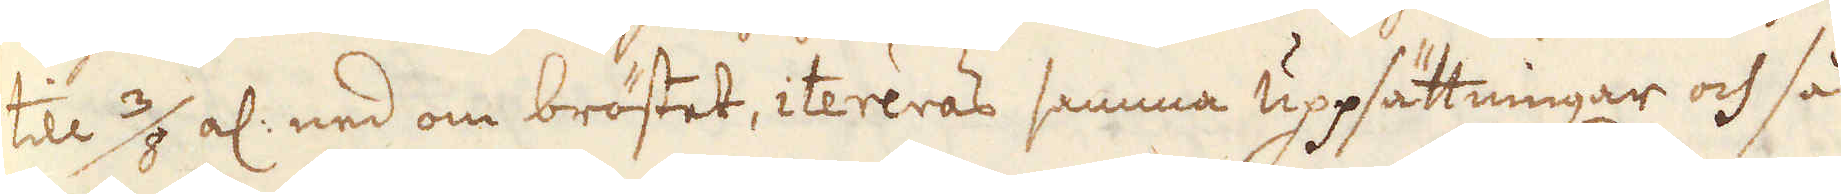till 3/8 al: ned om bröstet, itereras samma uppsättningar och så
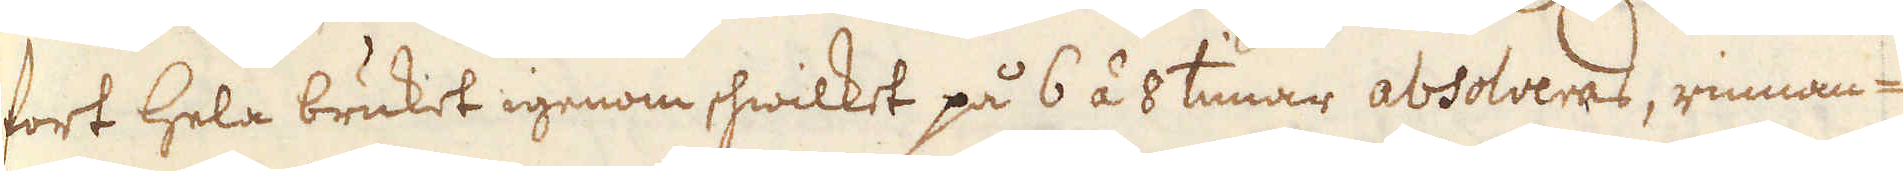fort hela bruket igenom, hwilket på 6 á 8 timar absolveras, rinnan-
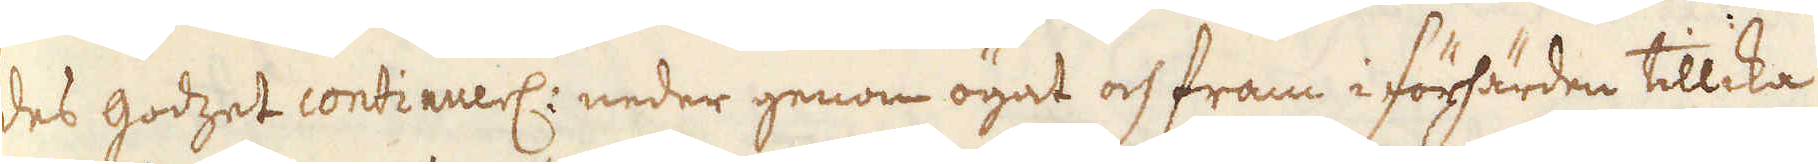des godzet continuerl: neder genom ögat och fram i förhärden tillika
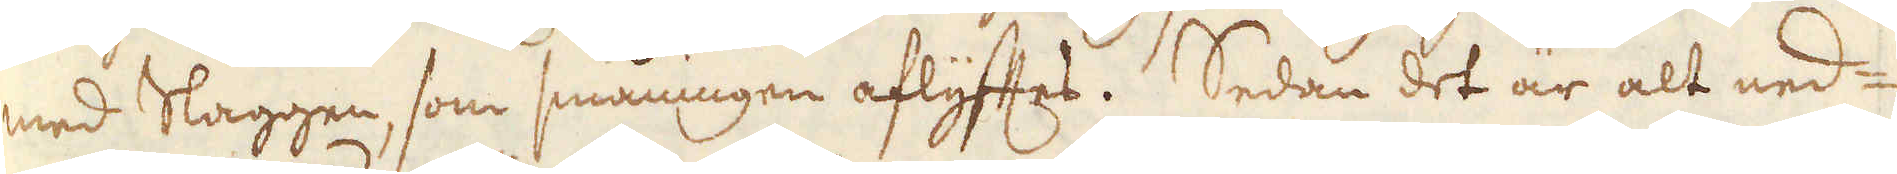med Slaggen, som småningen aflyftes. Sedan det är alt ned-
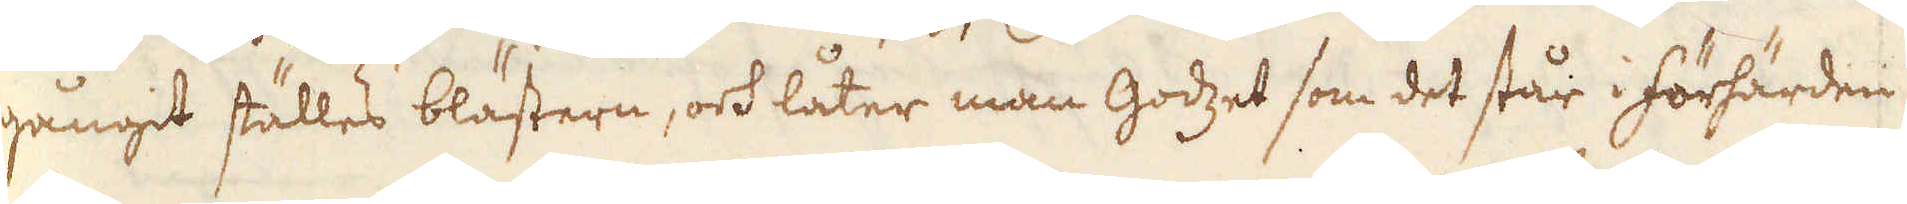gångit ställes blästern, och låter man godzet som det står i förhärden
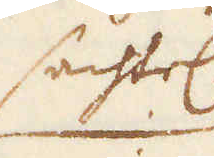sachtel
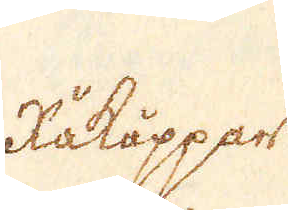Råkappar
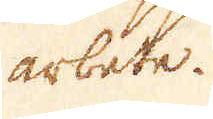arbete.
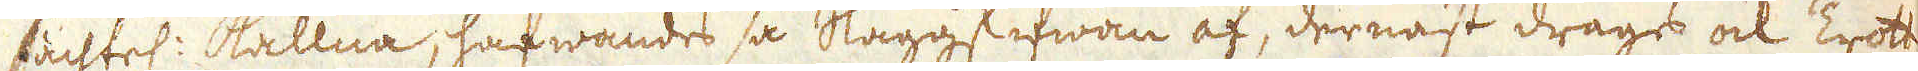sachtel: kallna, häfwandes så slaggskifwan af, dernäst drages ock Trott-
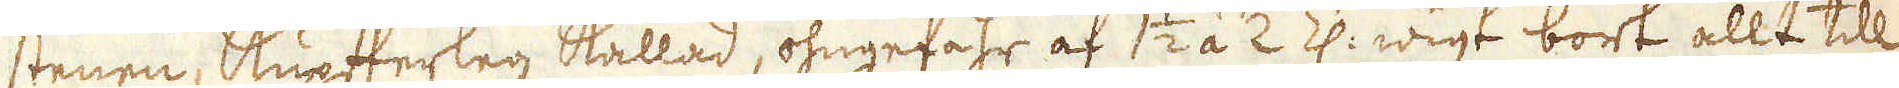stenen, Kupfterlag kallad, ohngefähr af 1 1/2 à 2 Z: wigt bort allt till
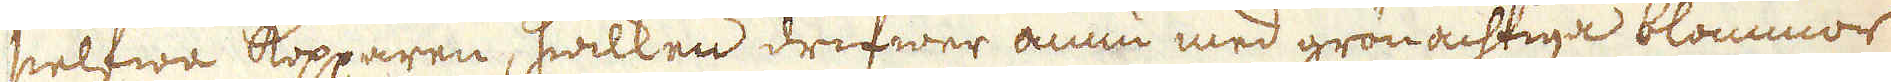sielfwa kopparen, hwilken drifwer ännu med grönachtiga blommor
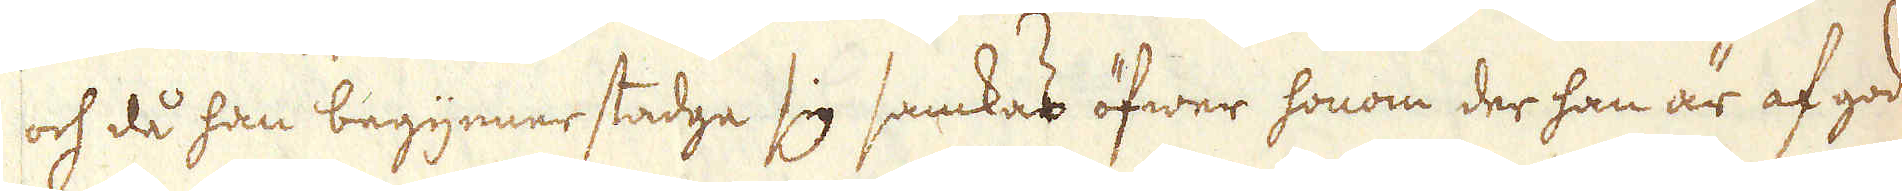och då han begynner stadge sig samkas öfwer honom der han är af god
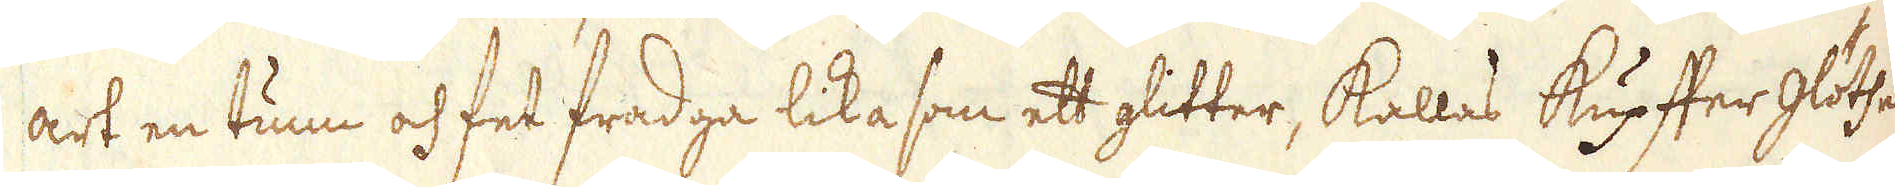art en tunn och fet fradga lika som ett glitter, kallas Kupffer glöthe
